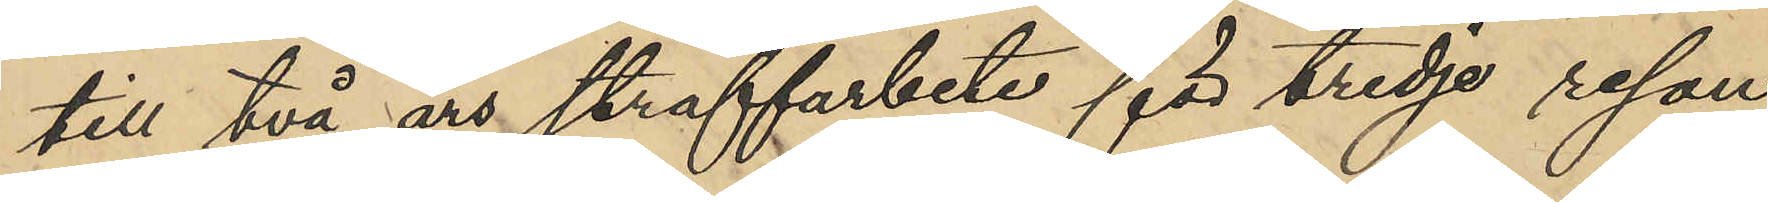till två års straffarbete för tredje resan
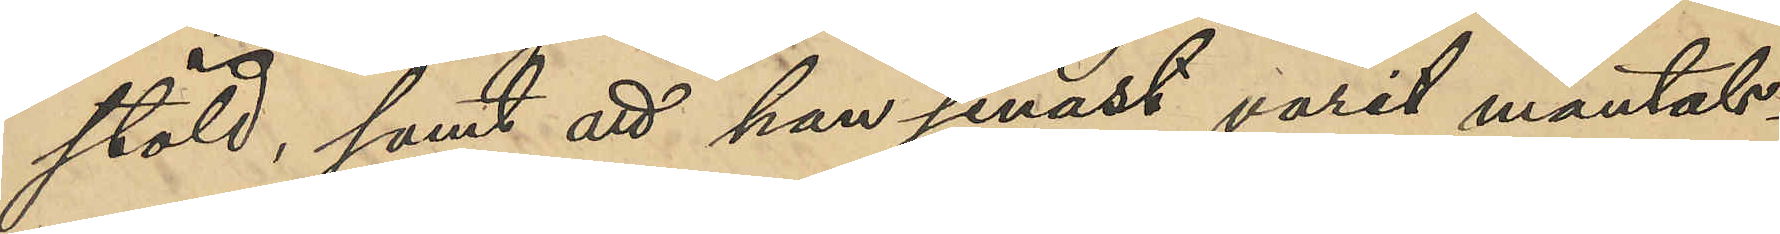stöld, samt att han senast varit mantals-
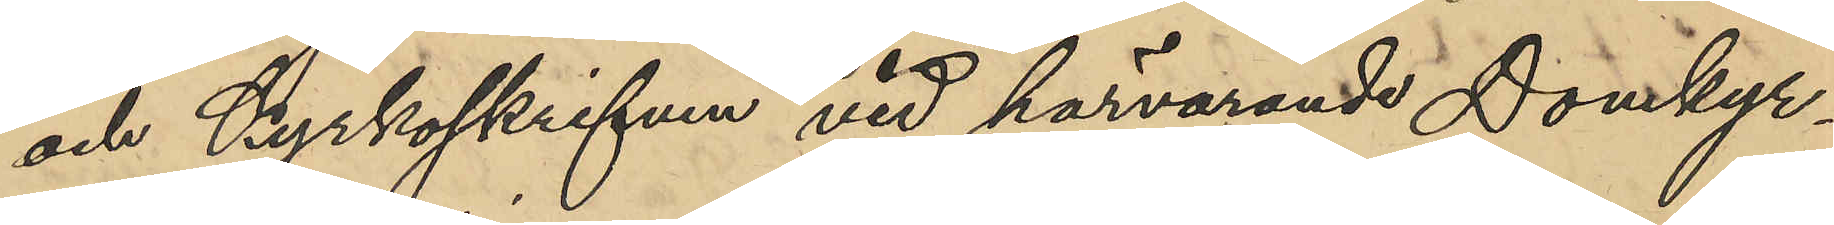och Kyrkoskriven vid härvarande Domkyr¬
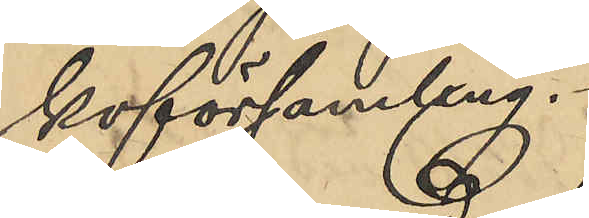koförsamling.
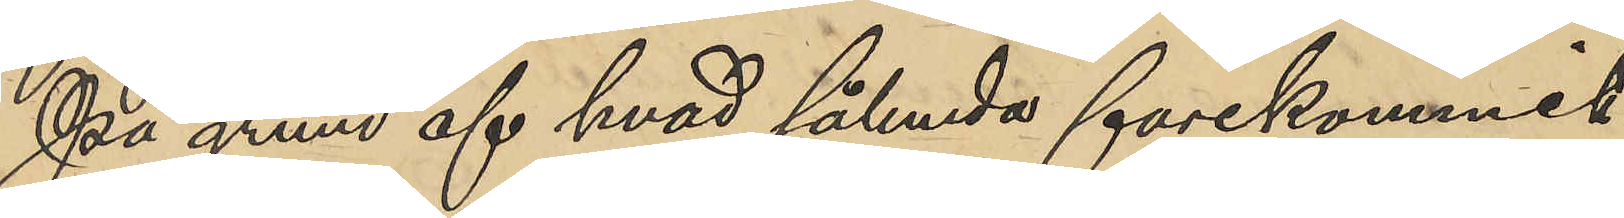På grund af hvad sålunda förekommit
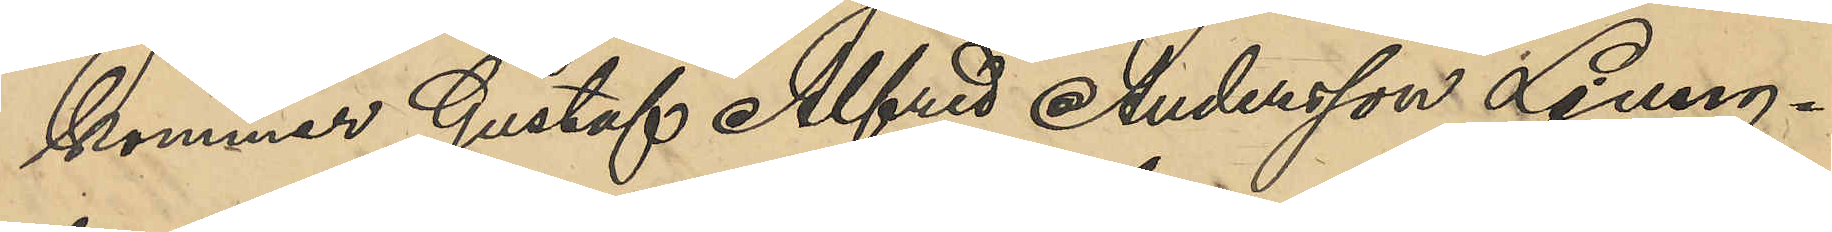kommer Gustaf Alfred Andersson Ljung¬
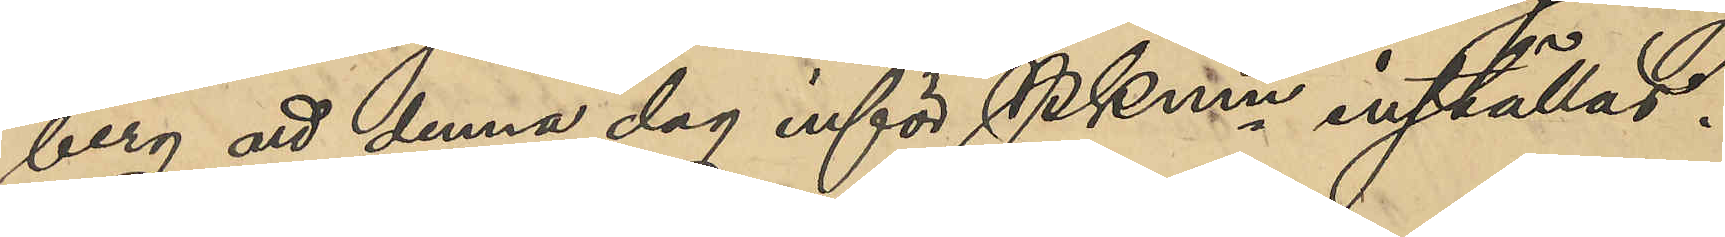berg att denna dag inför PKmn inställas.
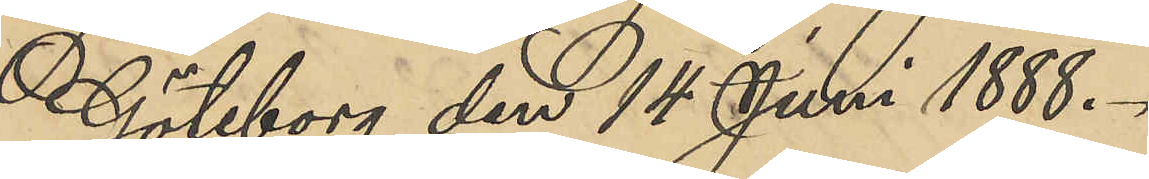Göteborg den 14 Juni 1888.
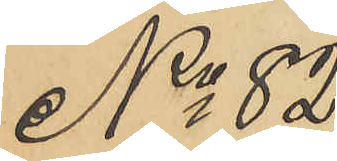No 82
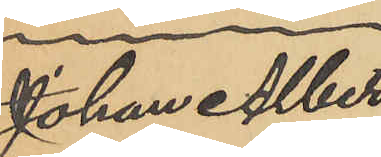Johan Albert
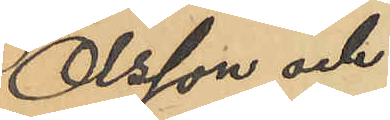Olsson och
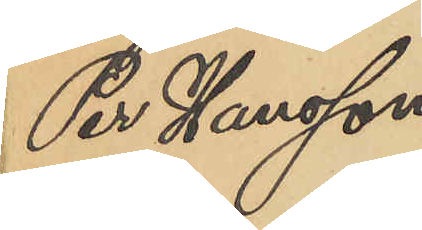Per Hansson.
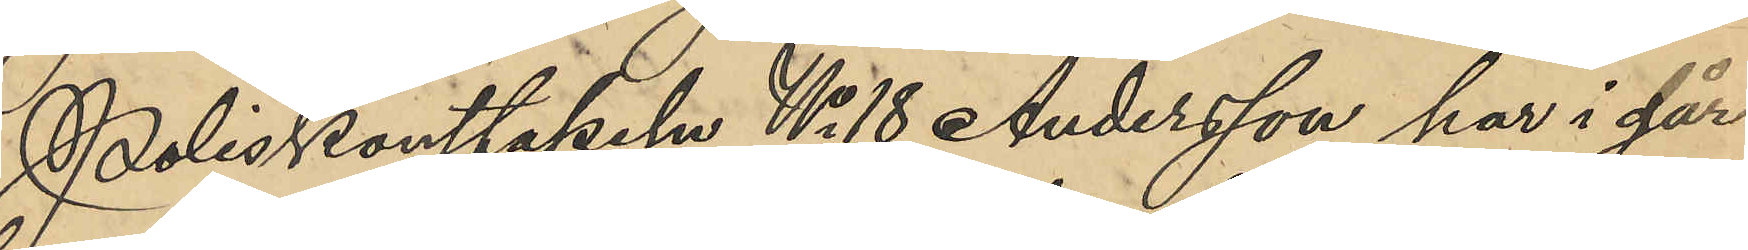Poliskonstapeln No 18 Andersson har i går
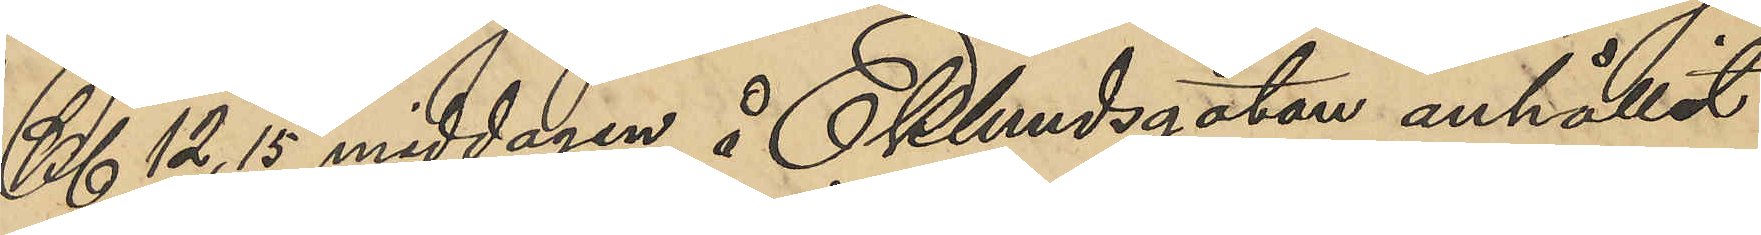Kl 12,15 middagen å Eklundsgatan anhållit
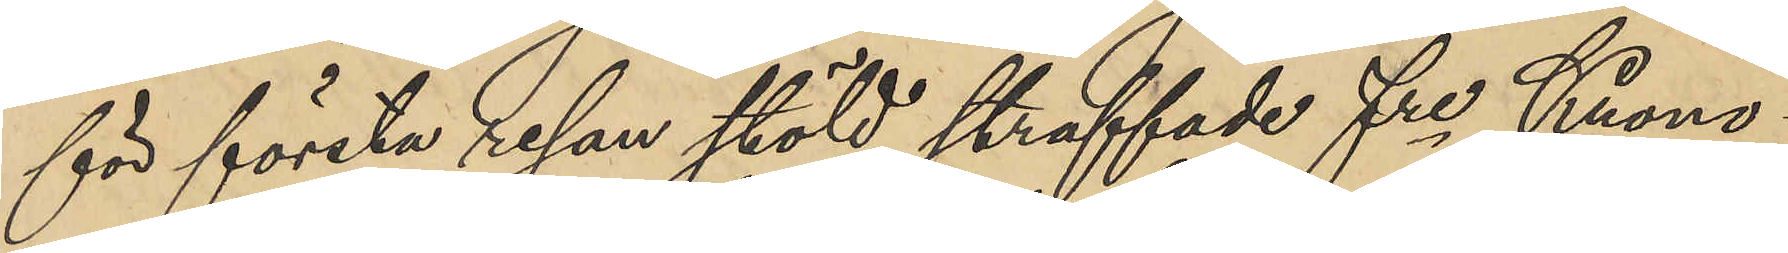för första resan stöld straffade fre Krono¬
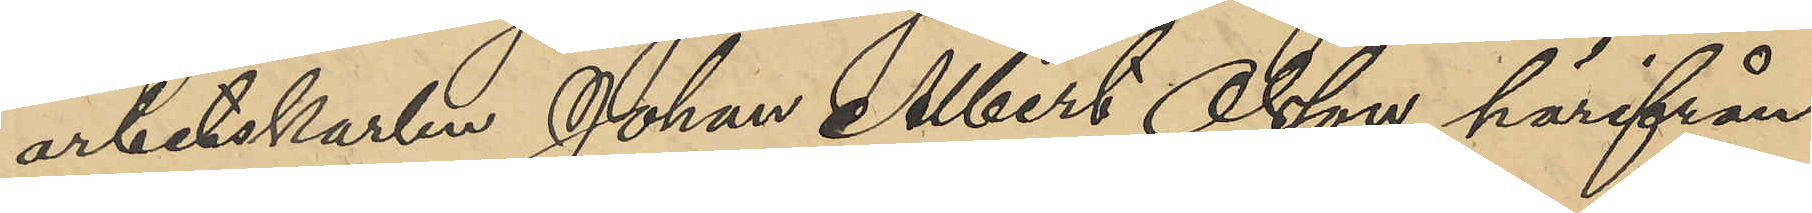arbetskarlen Johan Albert Olsson, härifrån
